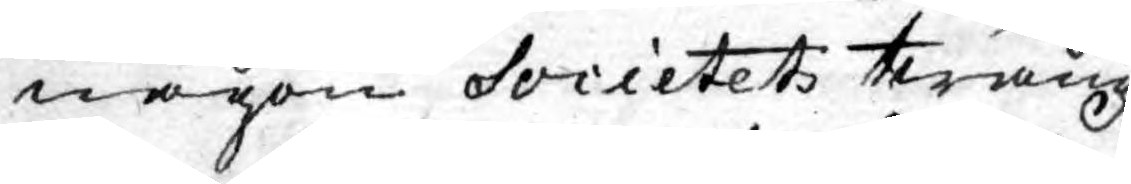någon Socictets twång
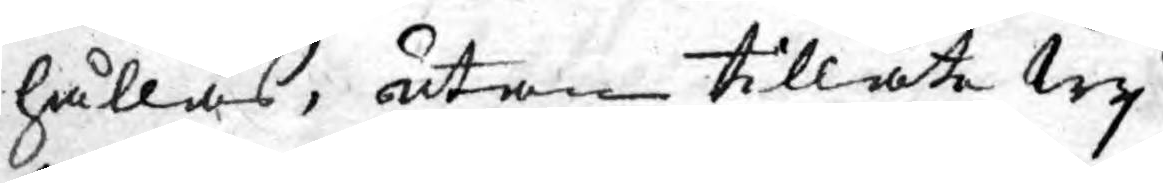hållas, utan tillåta Wy
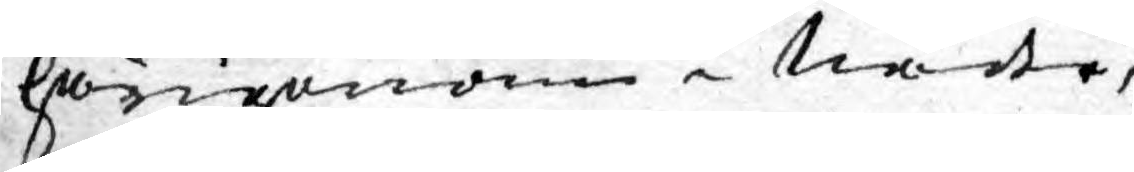härigenom i Nåder,
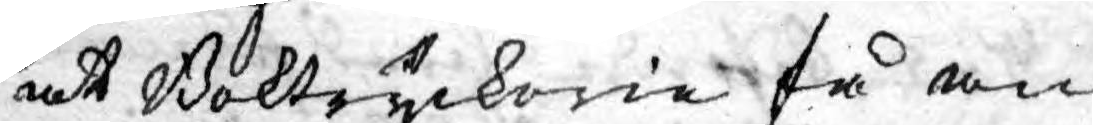at Boktryckerie få an¬
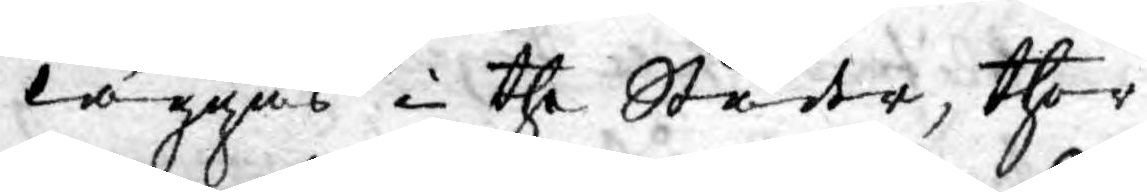läggas i the Städer, ther
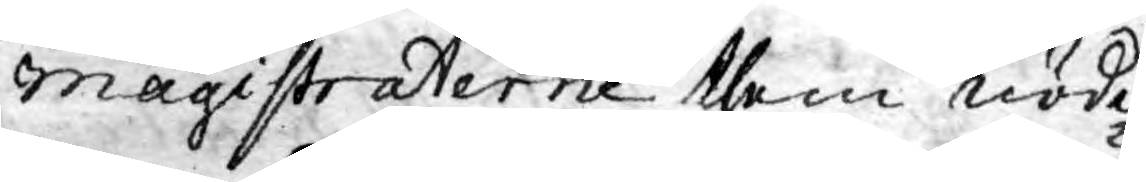Magistraterne them nödi¬
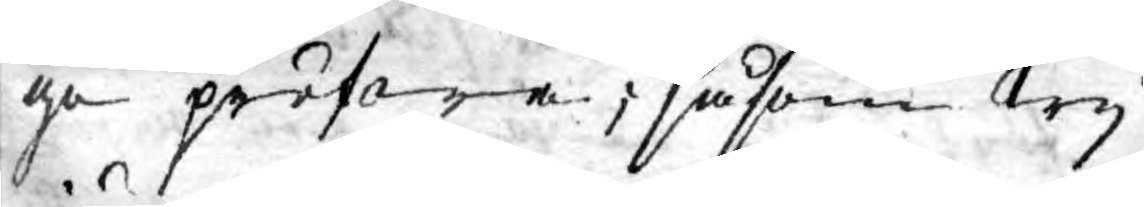ga pröfwa; såsom Wy
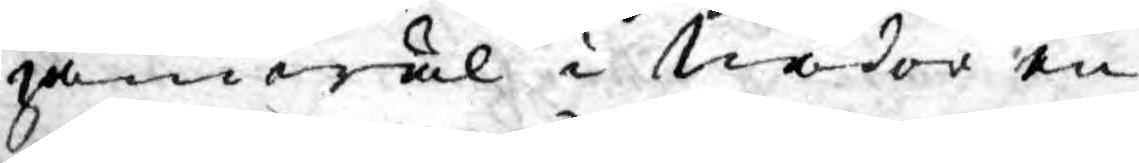jämwäl i Nåder en
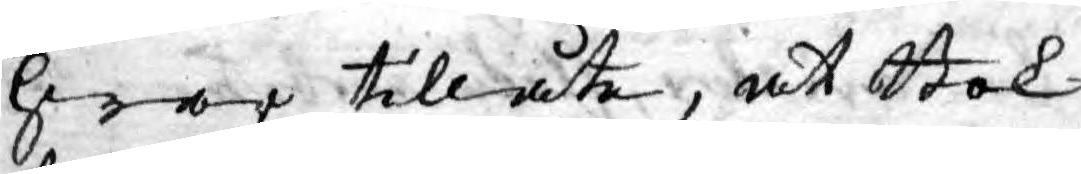hwar tillåte, at Bok¬
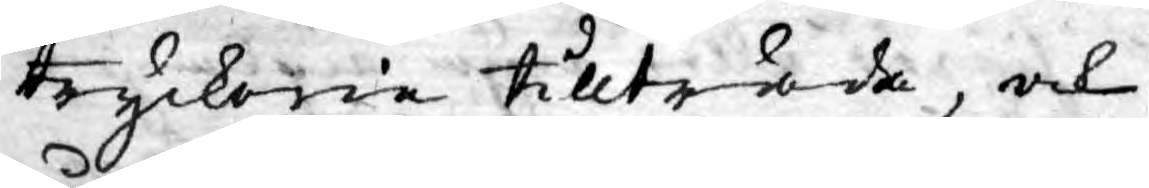tryckerie tillträda, och
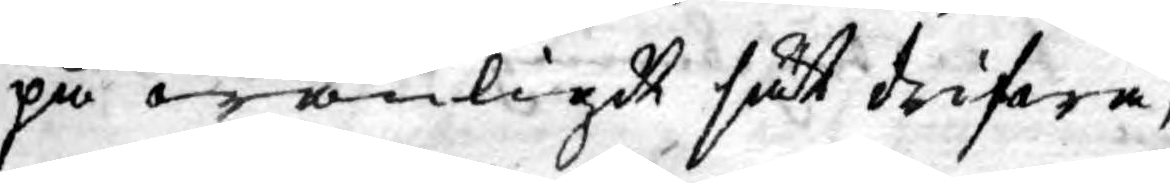på wanligdt sätt drifwa,
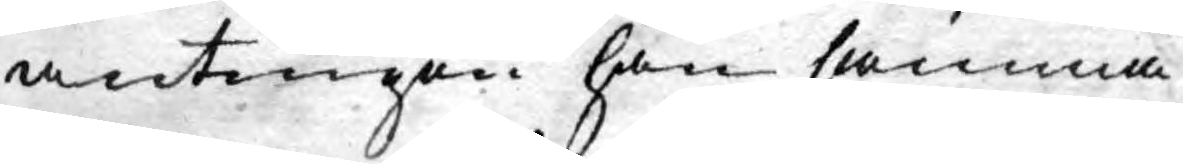antingen han samma
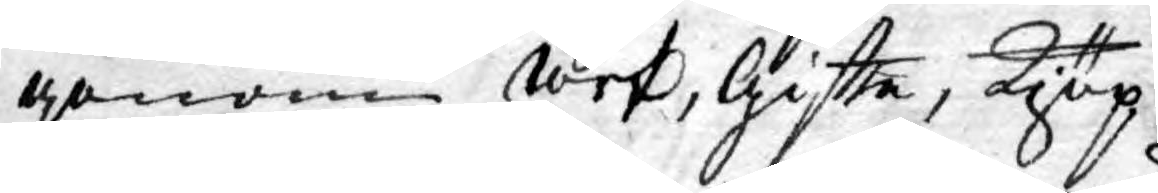genom arf, giftte, kjöp
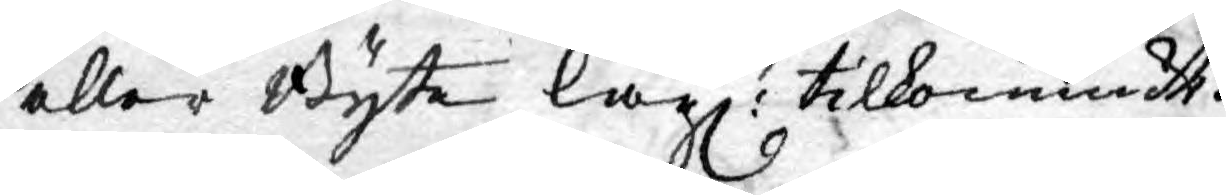eller Byte lagl: tilkommidt.
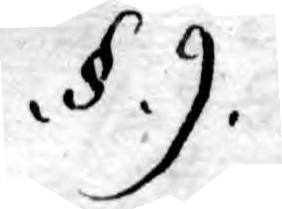.§.9.
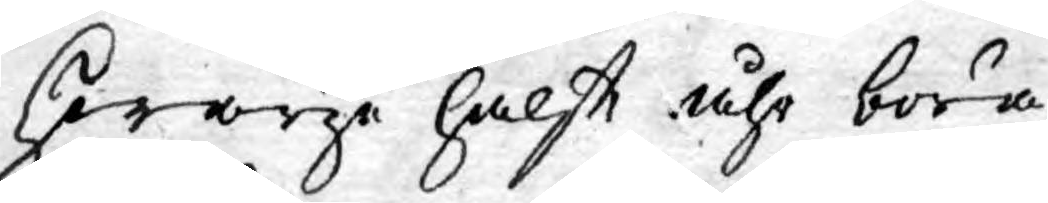Hwarje halft åhr böra
